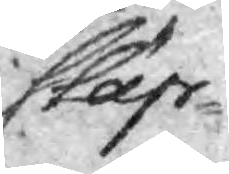släp¬
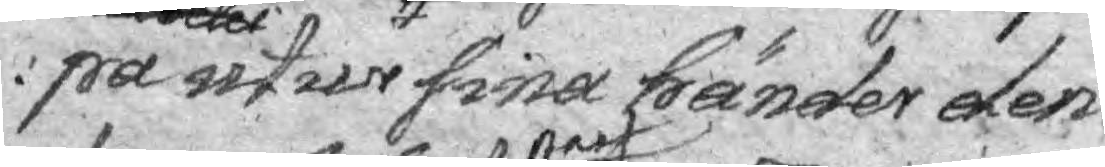pa alldeles utur sina händer den
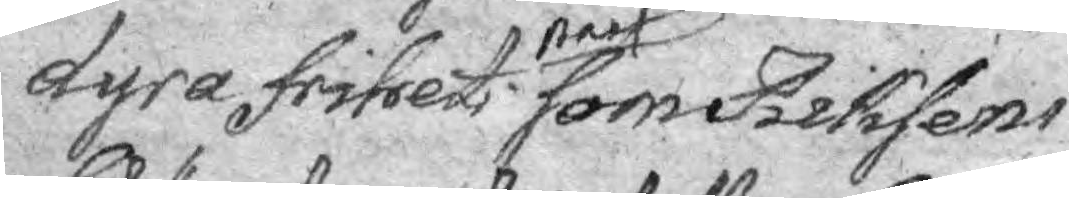dyra frihets nast som Riksens
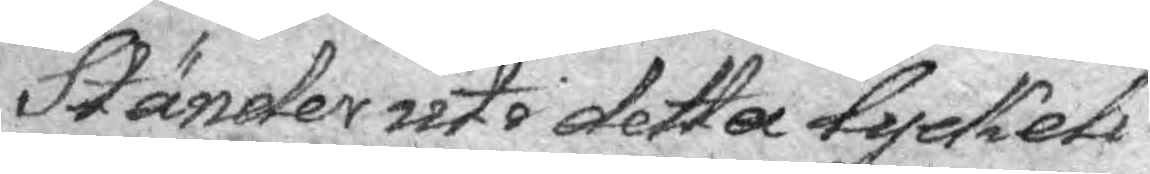Ständer uti detta Lyckeli¬
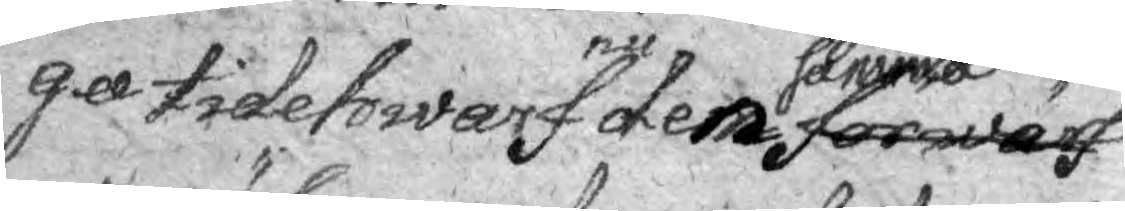ga tidetwarf nu den samma förwärf¬
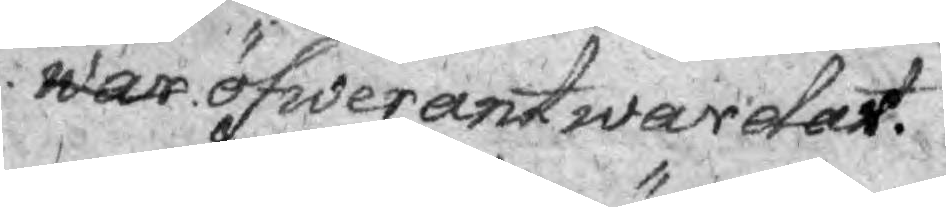war öfwerant warder.
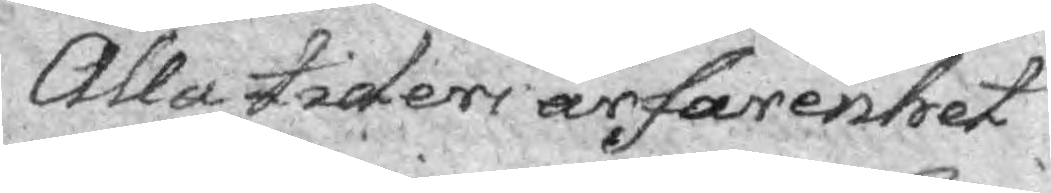Alla tiders ärfarenhet
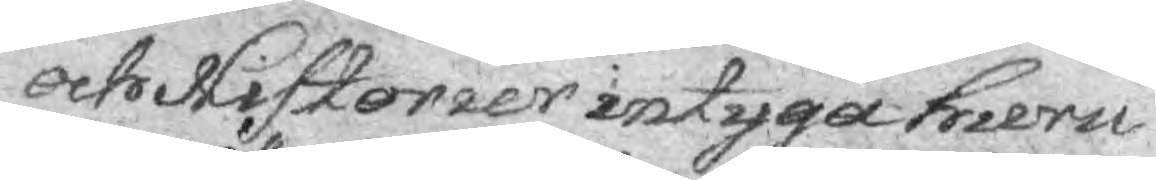och Historier intyga huru
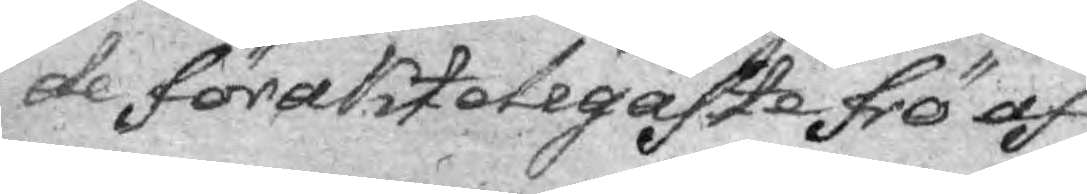de förakteligaste frö af
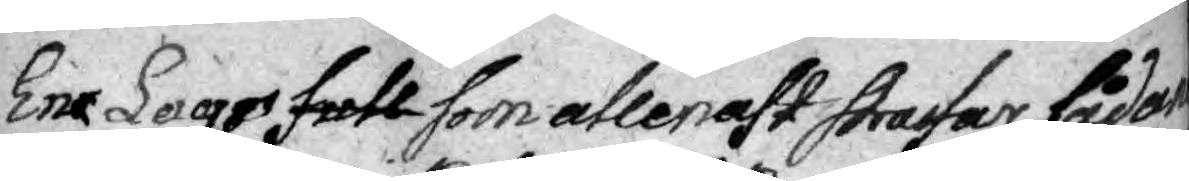En Lags fall som atlenast strafar sådan
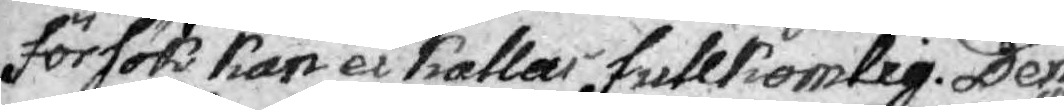försök kan ei kallas fullkomlig. Den Lag är i
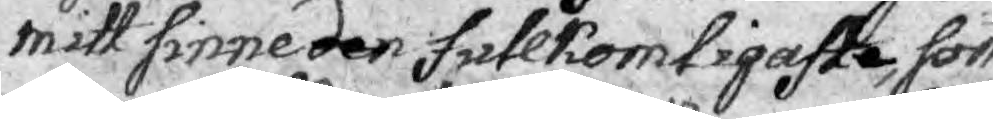mitt sinne den fullkomligaste, som
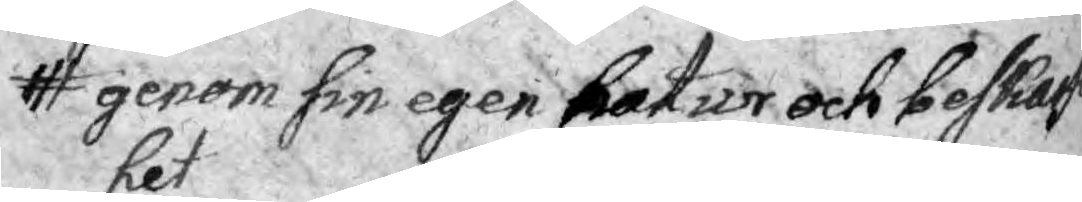genom sin egen natur ock beskafen¬
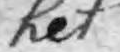het
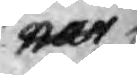när¬
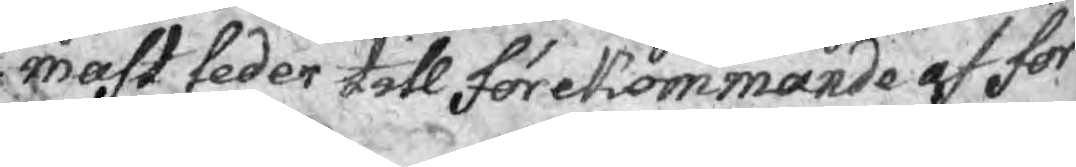mast leder till förekommande af för¬
